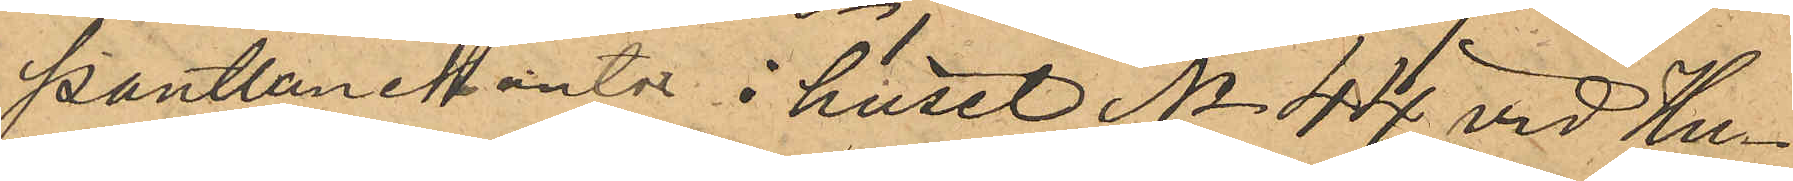Pantlånekonto i huset No 44 vid Hu¬
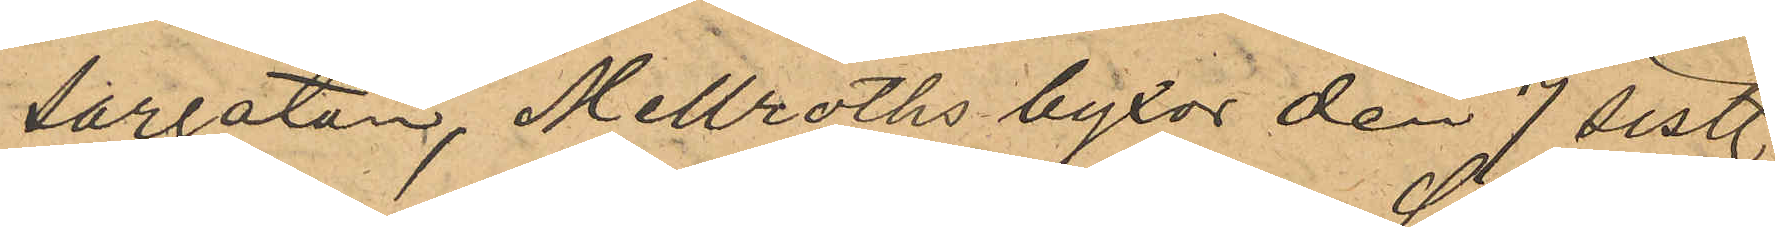sargatan, Mellroths byxor den 7 sist.
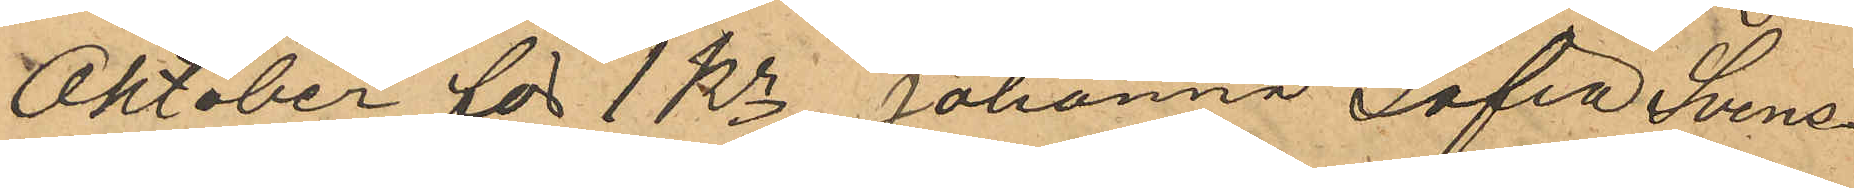Oktober för 1 Kr, Johanna Sofia Svens¬
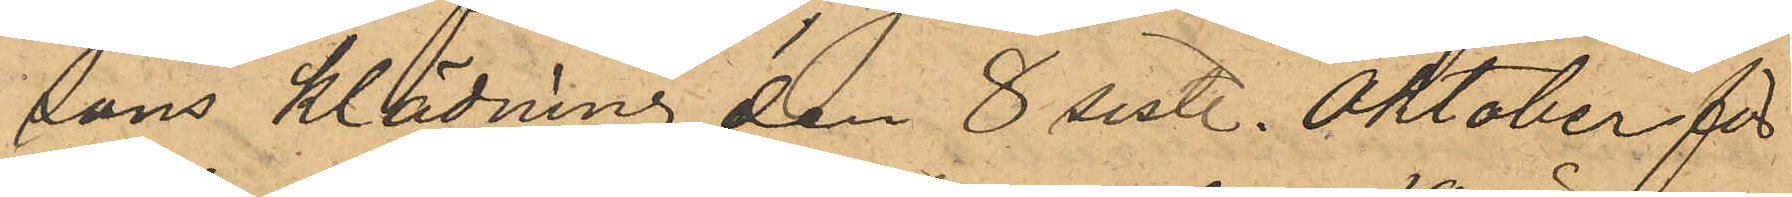sons klädning den 8 sist. Oktober för
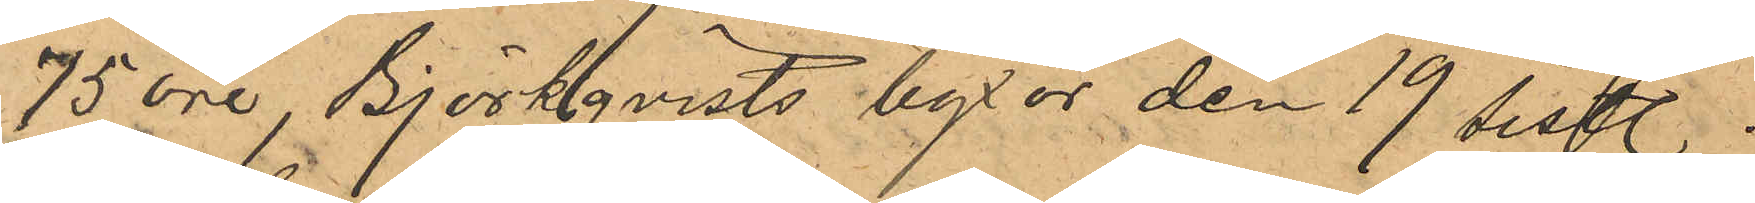75 öre, Björkqvists byxor den 19 sistl.
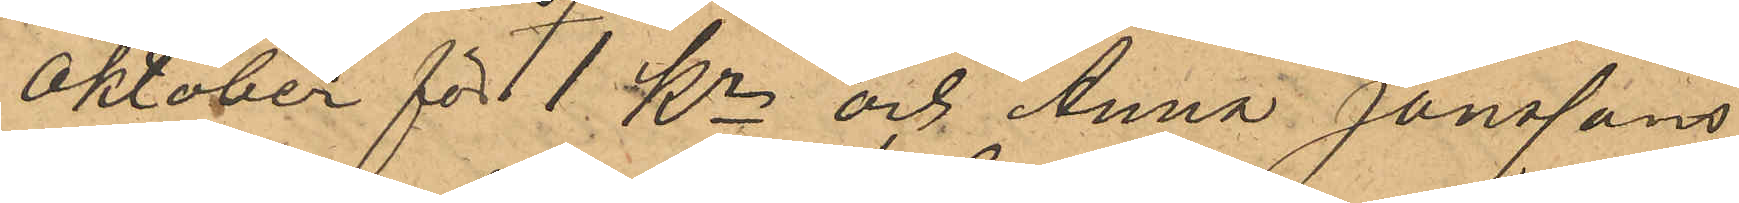Oktober för 1 Kr och Anna Janssons
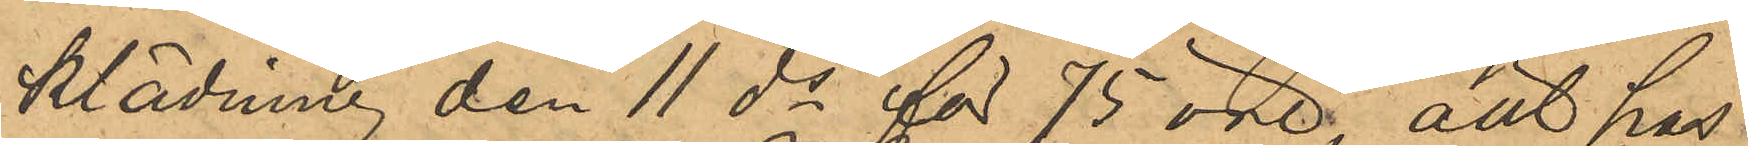klädning den 11 ds för 75 öre, allt hos
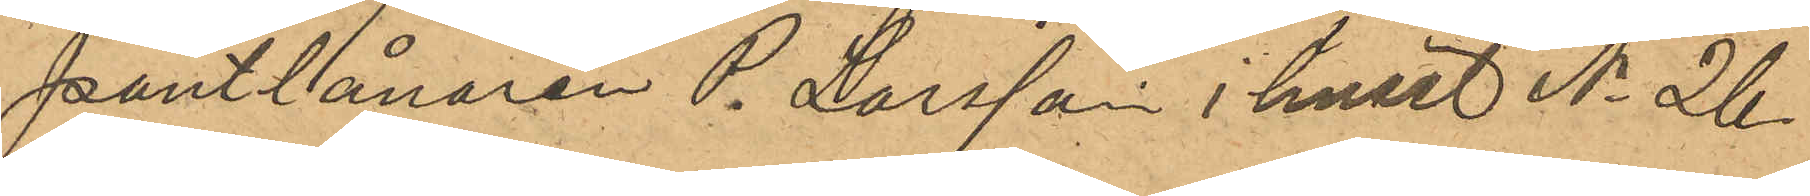pantlånaren P. Larsson i huset No 26
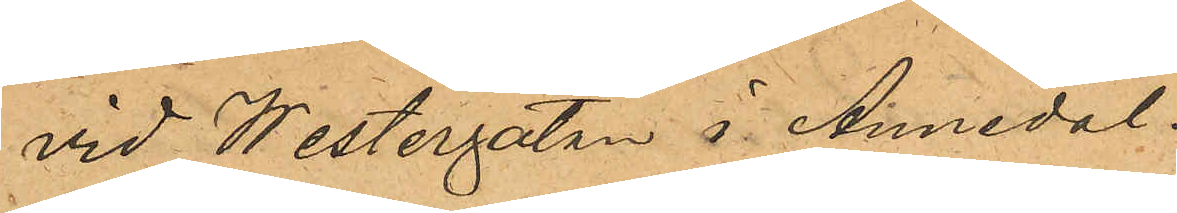vid Westergatan i Annedal.
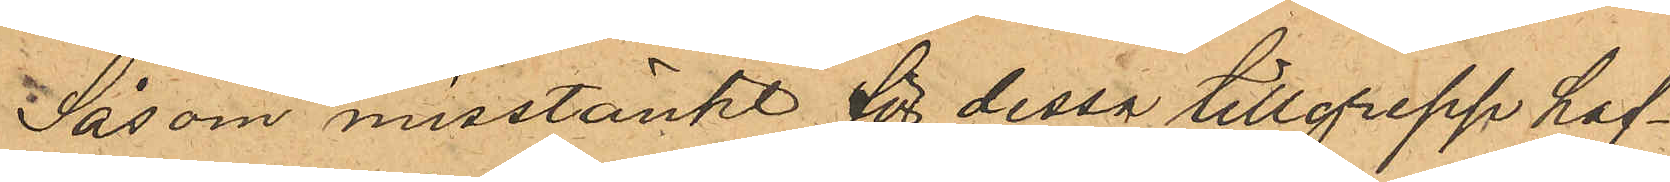Såsom misstänkt för dessa tillgrepp haf¬
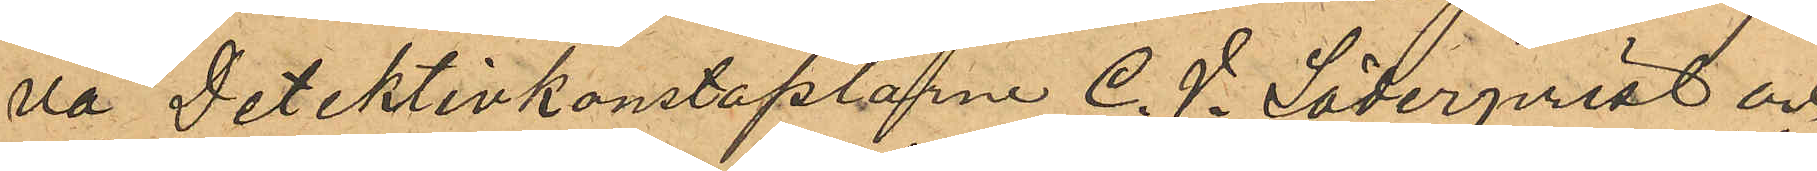va Detektivkonstaplarne C. V. Söderqvist och
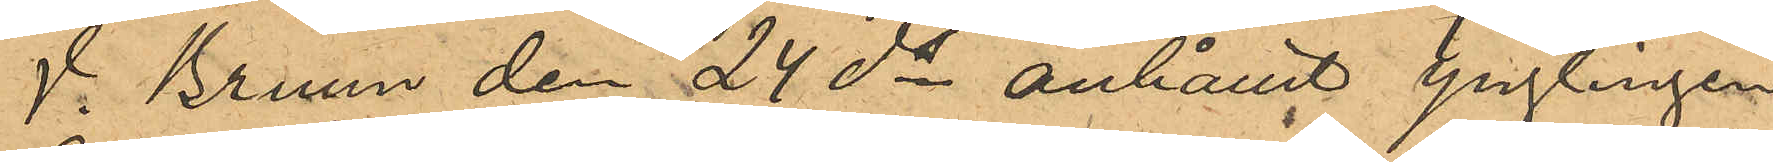V. Bruun den 24 ds anhållit ynglingen
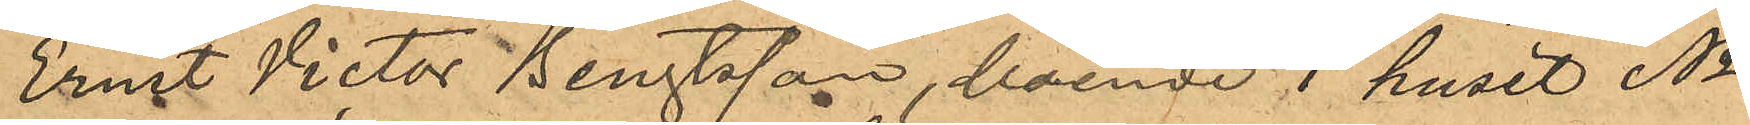Ernst Victor Bengtsson, boende i huset No
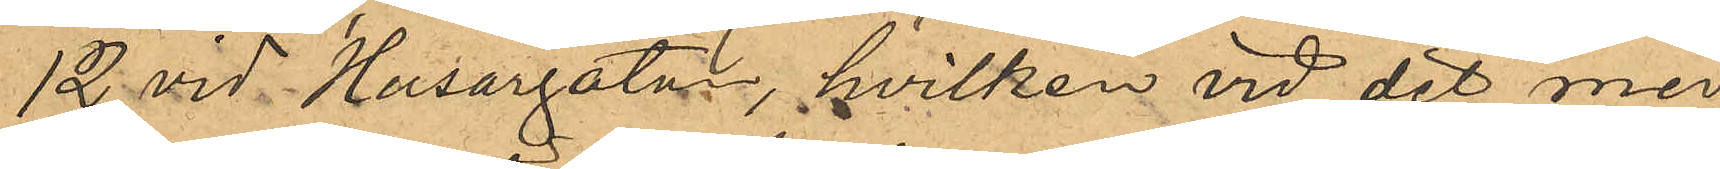12 vid Husargatan, hvilken vid det med
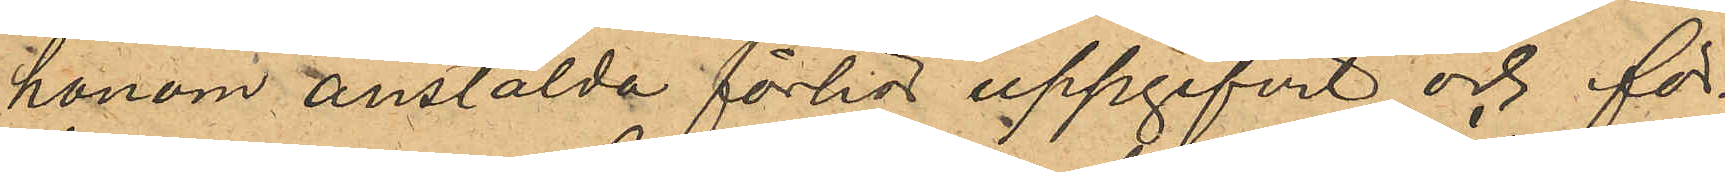honom anstälda förhör uppgifvit och för¬
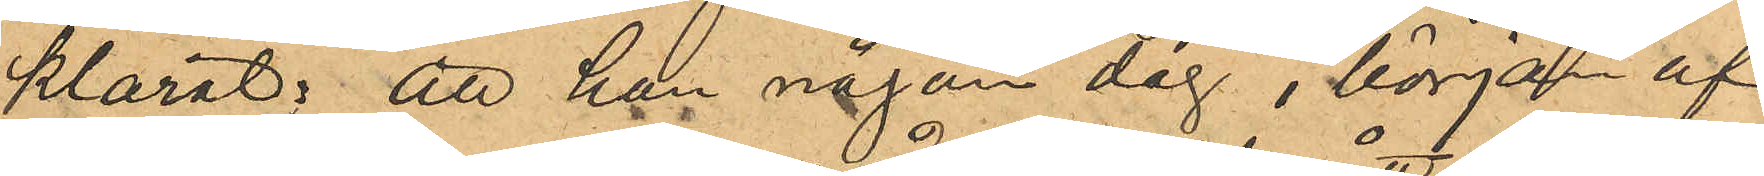klarat; att han någon dag i början af
